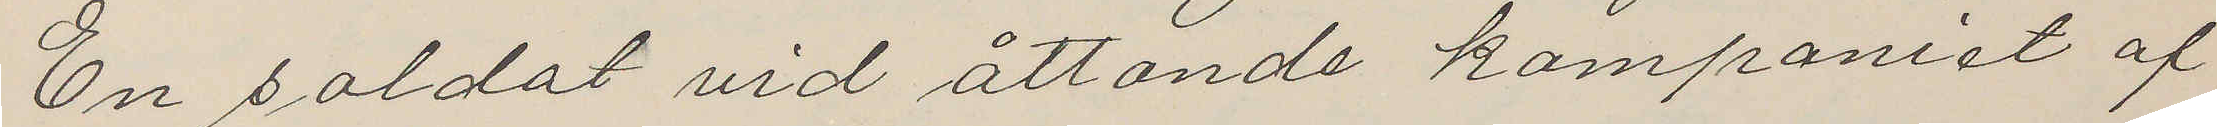En soldat vid åttonde kompaniet af
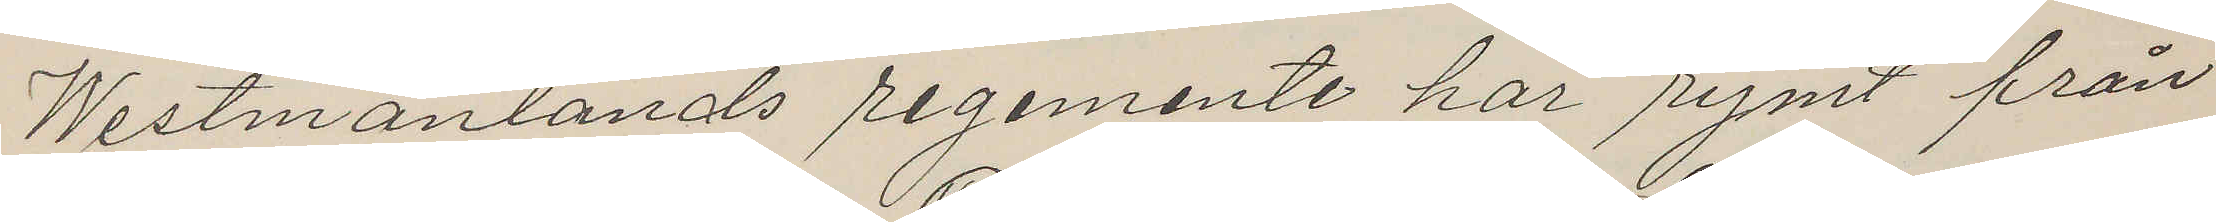Westmanlands regemente har rymt från
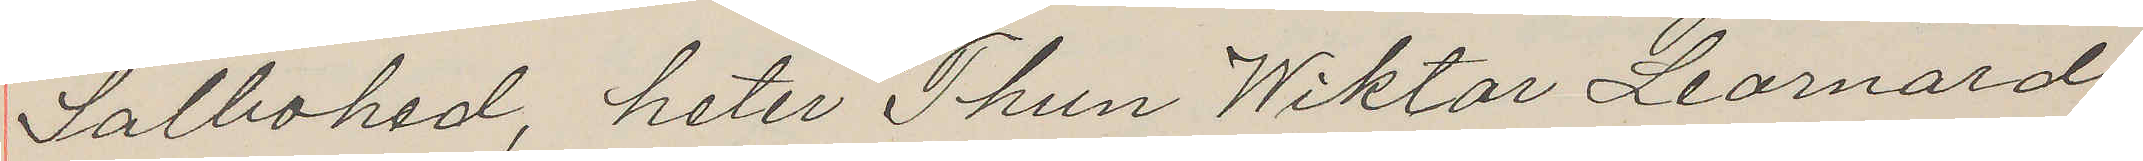Salbohed, heter Thun Wiktor Leornard,
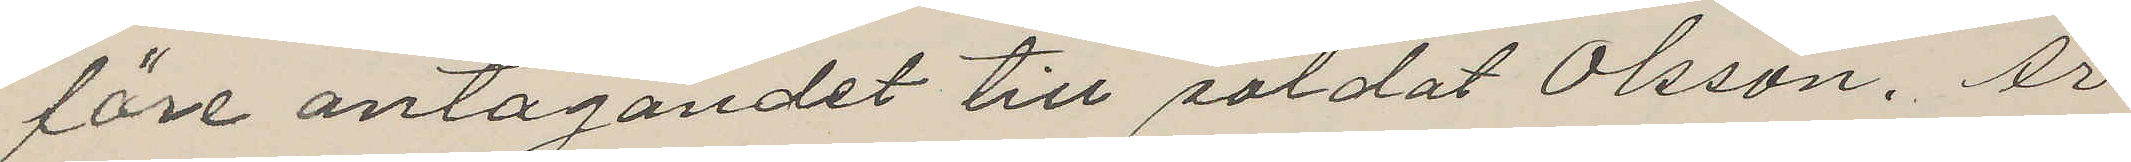före antagandet till soldat Olsson. Är
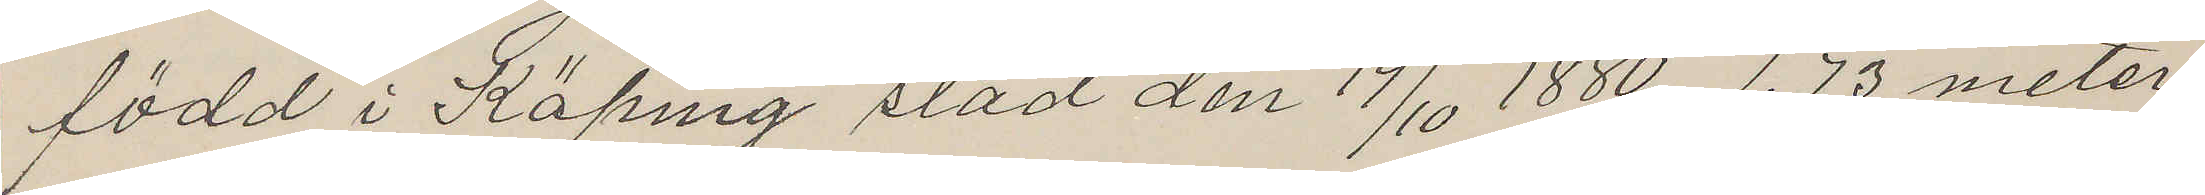född i Köping stad den 19/10 1880, 1.73 meter
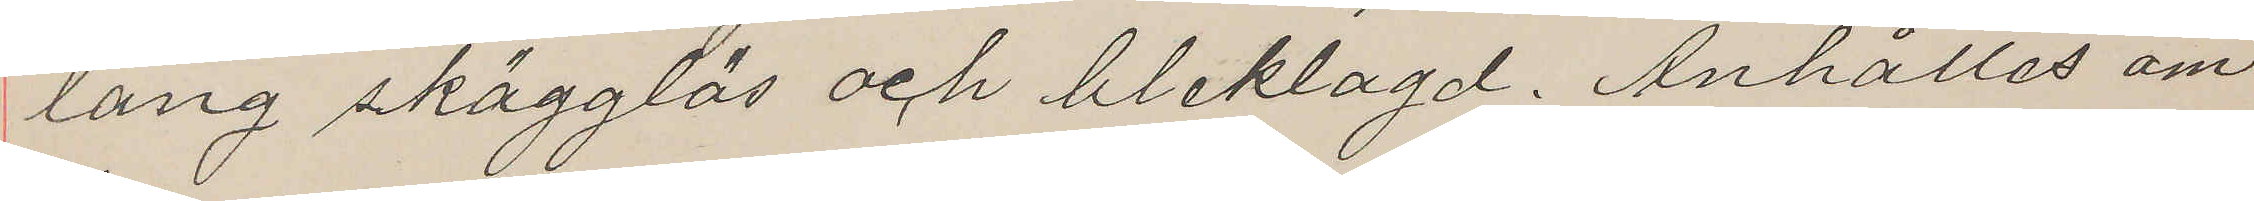lång skägglös och bleklagd. Anhålles om
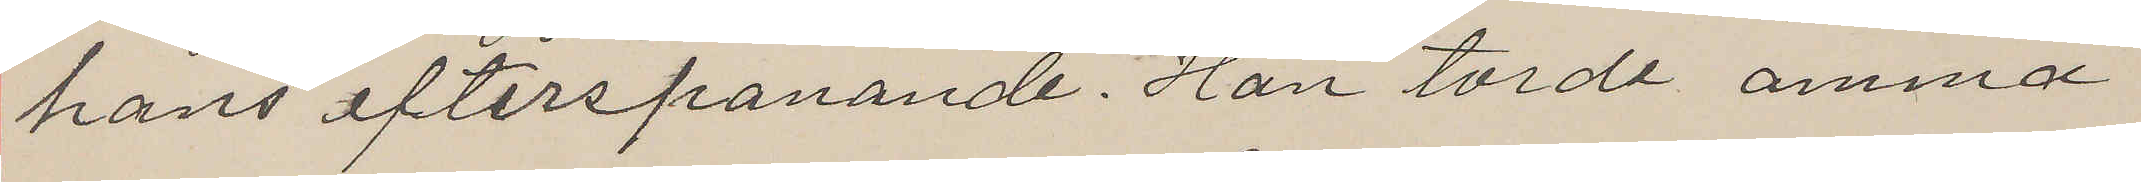hans efterspanande. Han torde amna
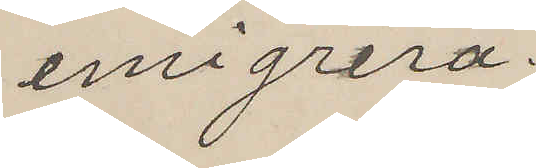emigrera.
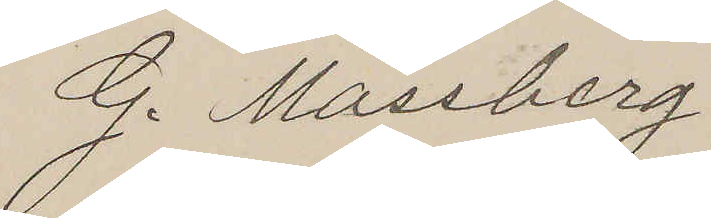G. Massberg
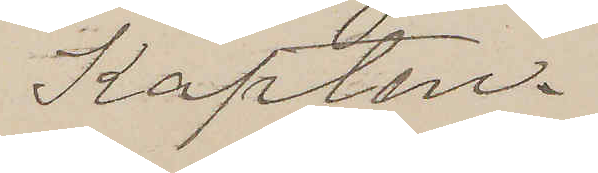Kapten.
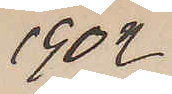1902
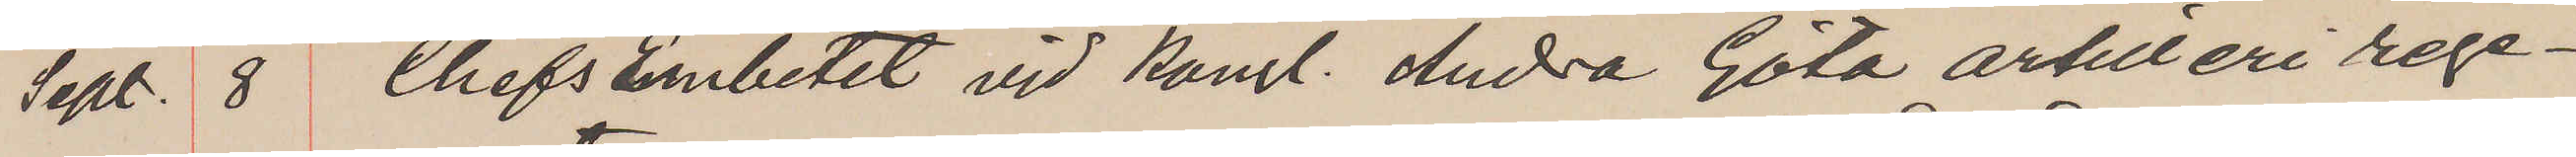Sept. 8 Chefs Embetet vid Kongl. Andra Göta artilleri rege¬
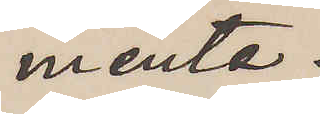mente.
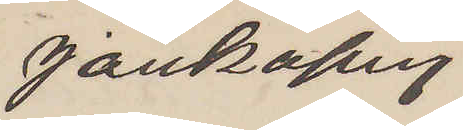Jönköping
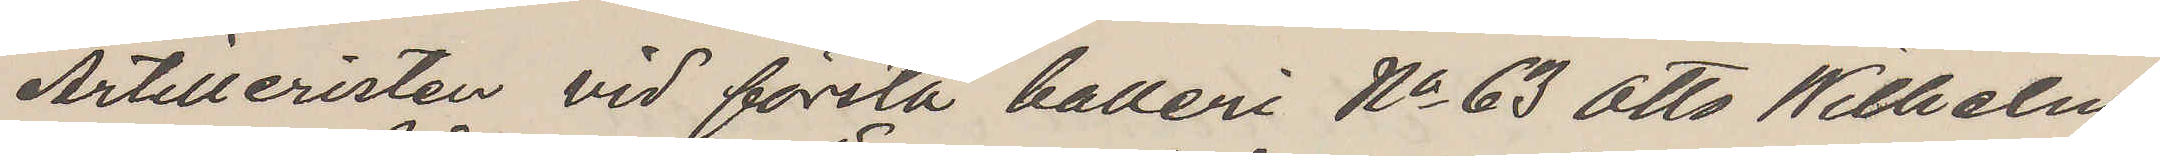Artilleristen vid första batteri No 63 Otto Wilhelm
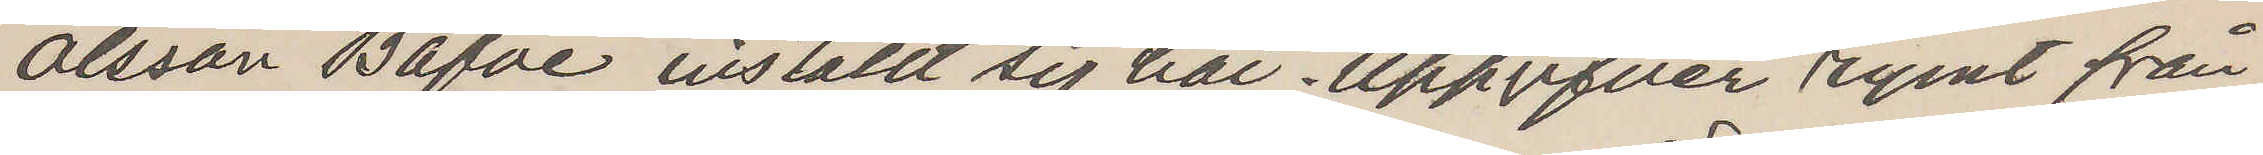Olsson Bäfve inställt sig här. Uppgifver rymt från
